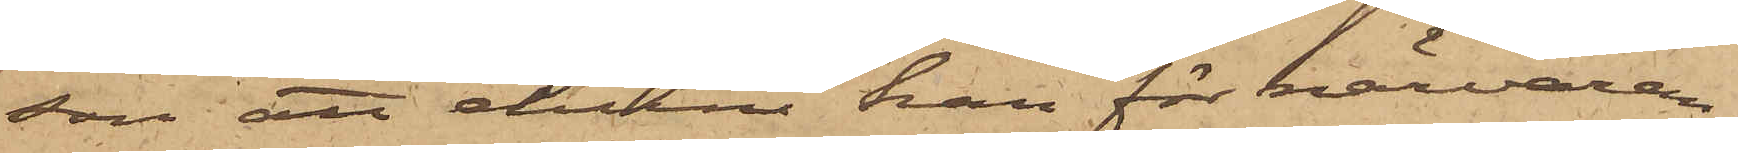son att ehuru han för närvaran¬
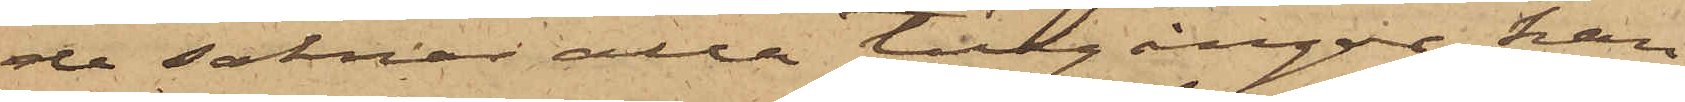de saknar alla tillgångar, han
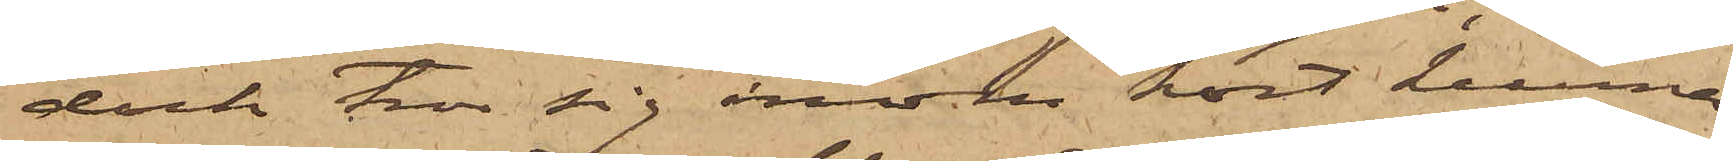dock tror sig inom kort kunna
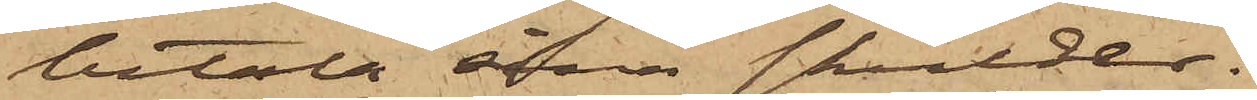betala sina skulder.
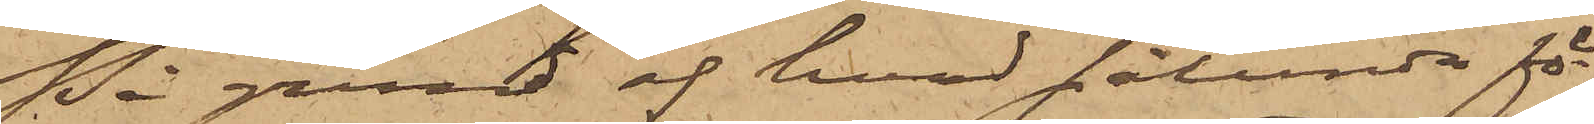På grund af hvad sålunda för¬
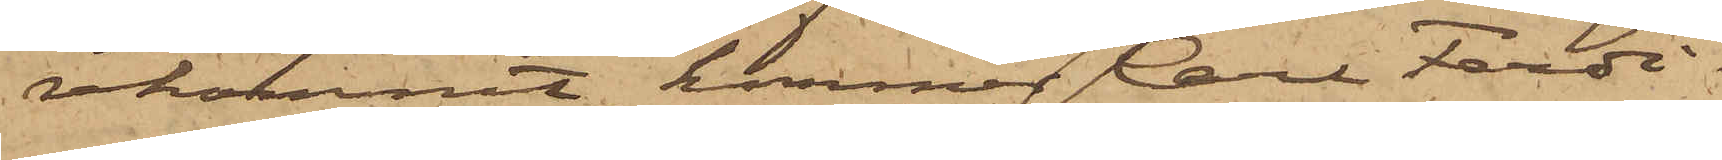rekommit, kommer Carl Ferdi¬
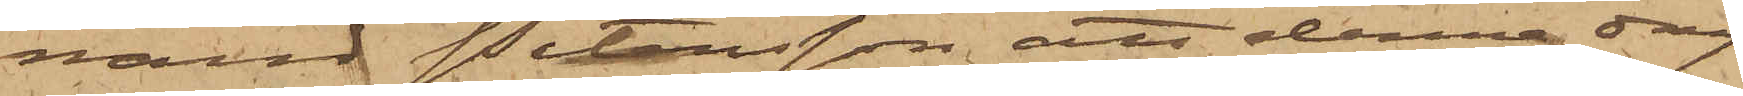nand Petersson att denna dag
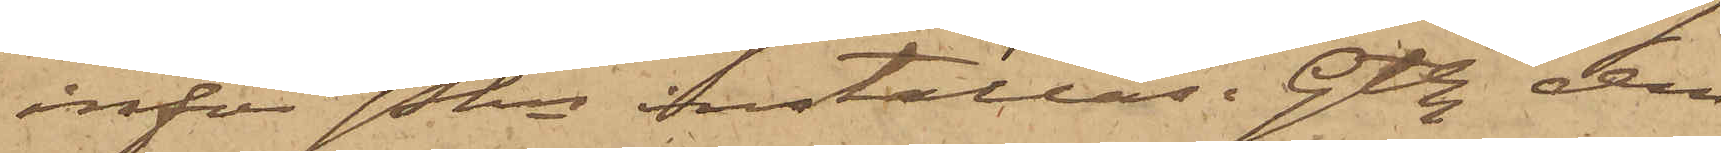inför Pkn inställas. Gtbg den
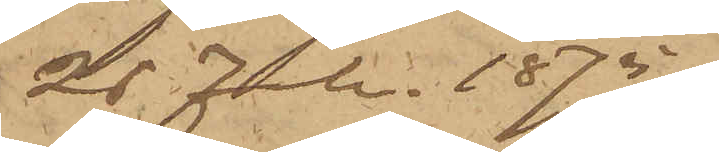26 Febr. 1875.
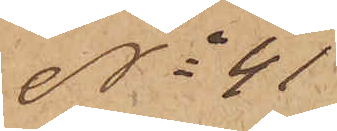No 41
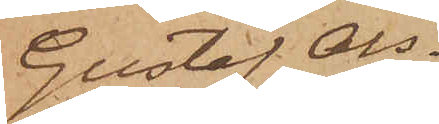Gustaf Ols¬
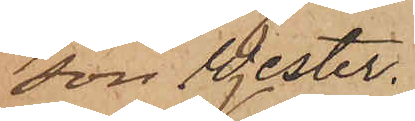son Wester.
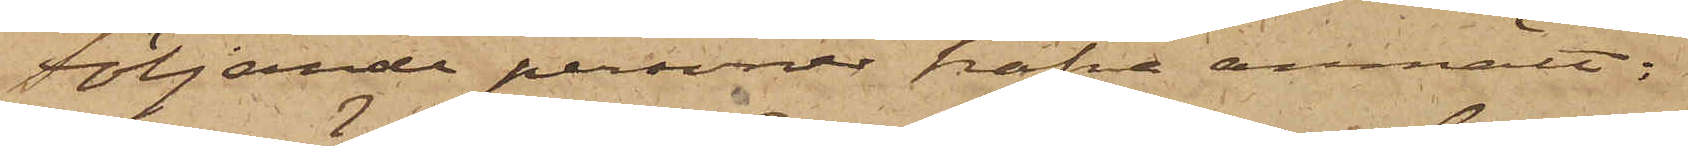Följande personer hafva anmält:
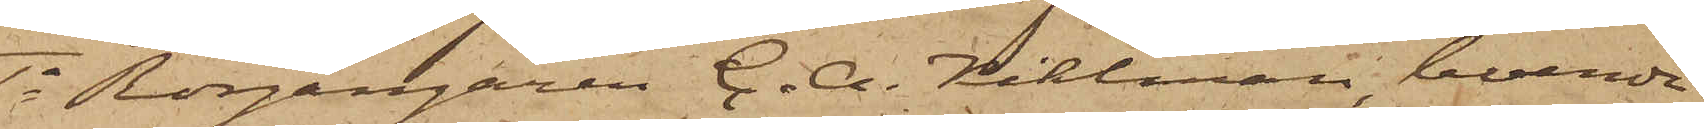1o Rorgängaren C. A. Kihlman, boende
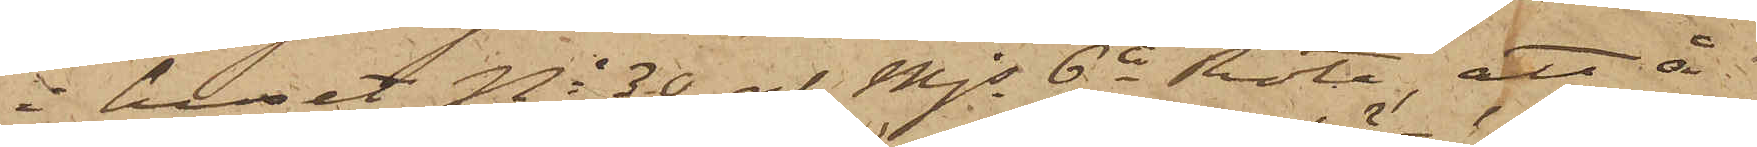i huset No 30 af Mjs 6te Rote, att å
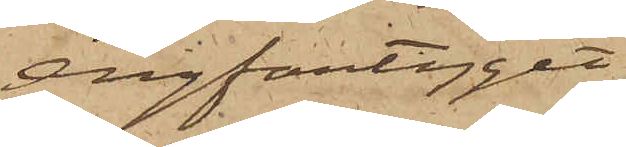ångfartyget
